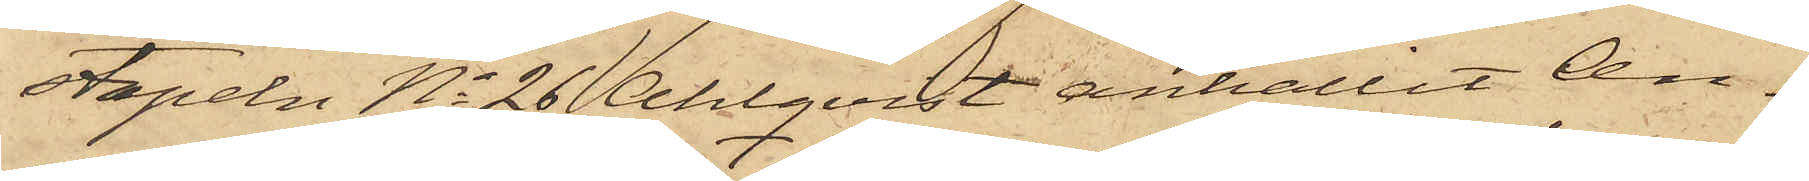stapeln No 26 Ahlqvist anhållit An¬
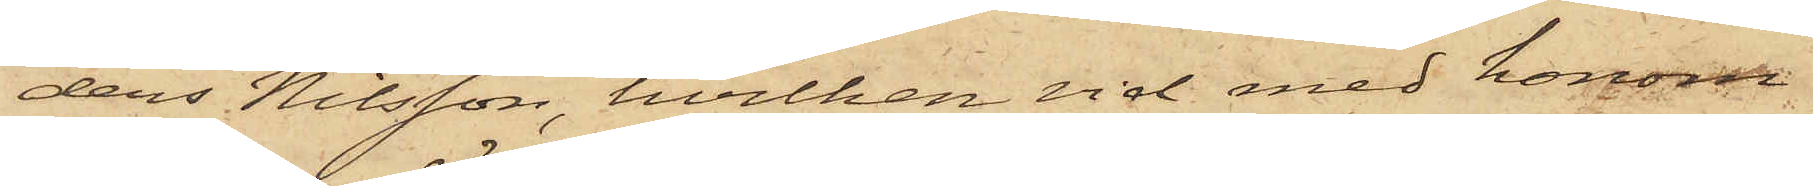ders Nilsson, hvilken vid med honom
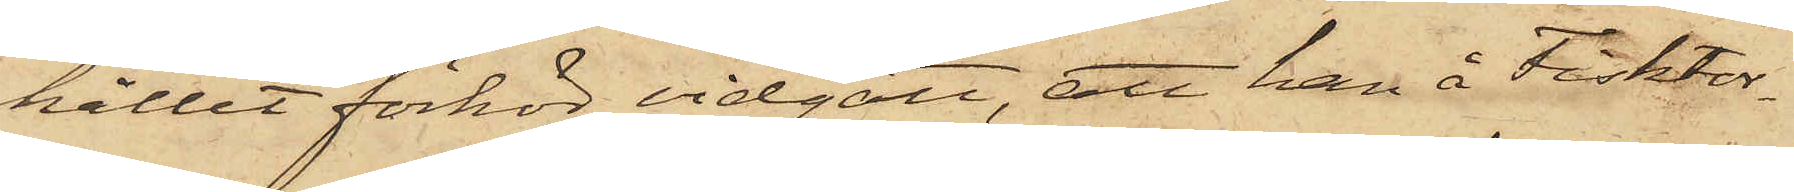hållet förhör vidgått, att han å Fisktor¬
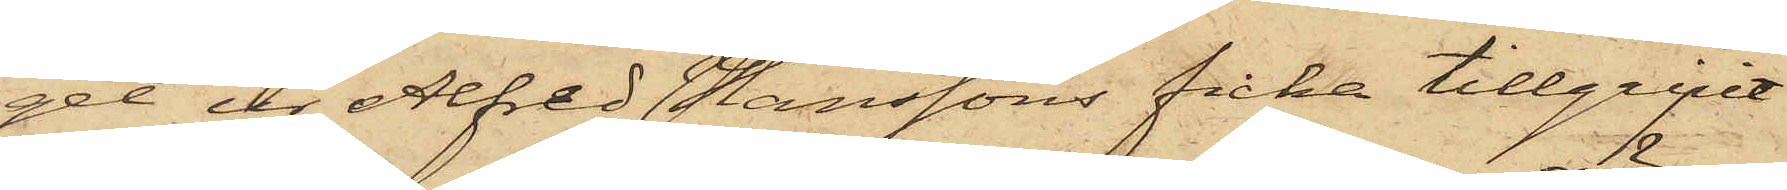get ur Alfred Hanssons ficka tillgripit
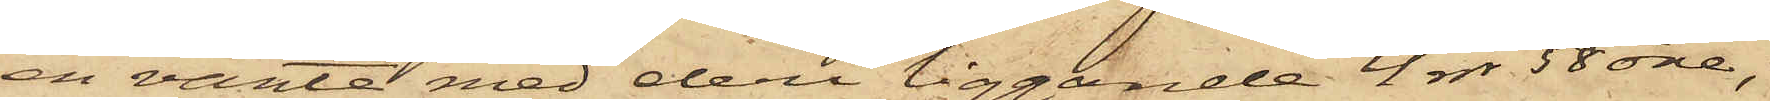en vante med deri liggande 4 rdr 58 öre;
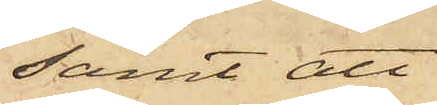samt att
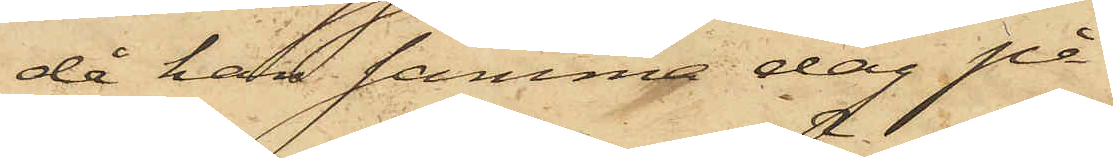då han samma dag på
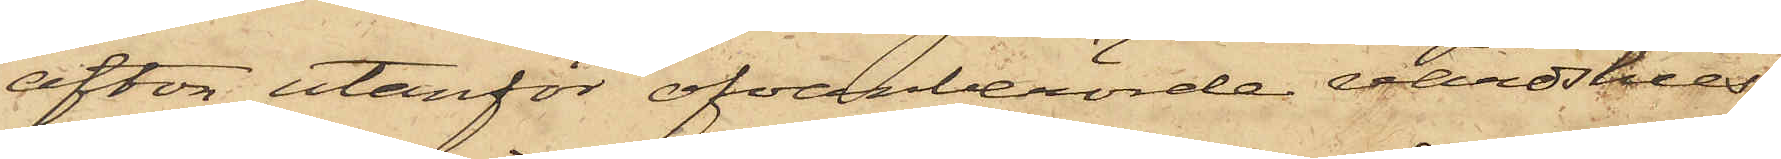afton utanför ofvanberörde värdshus
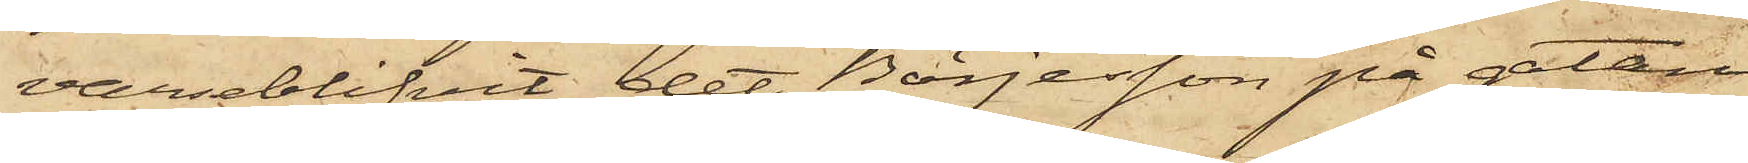varseblifvit det Börjesson på gatan
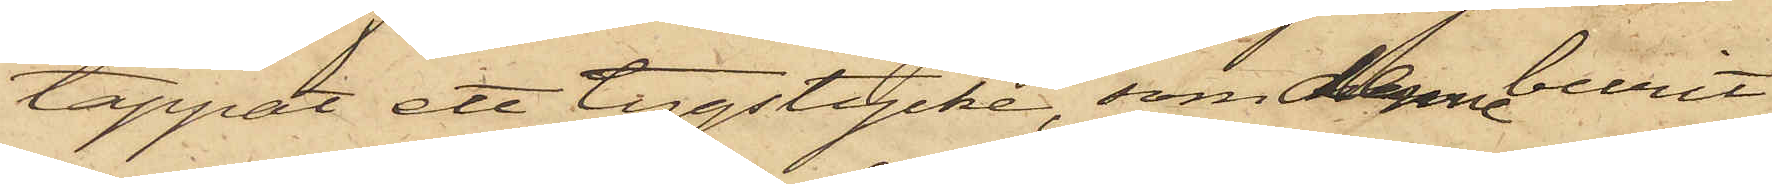tappat ett tygstycke, som denne burit
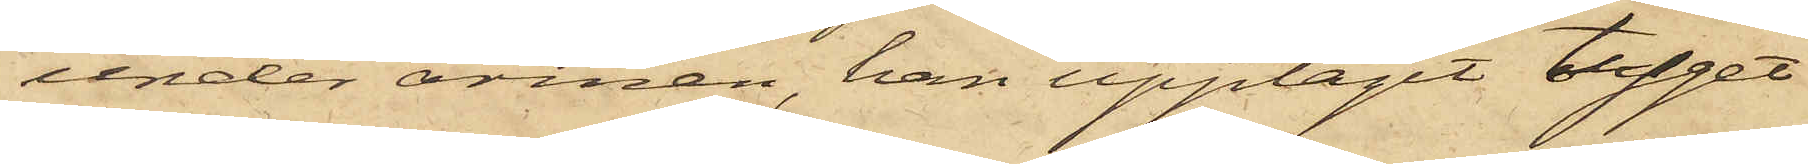under armen, han upptagit tyget
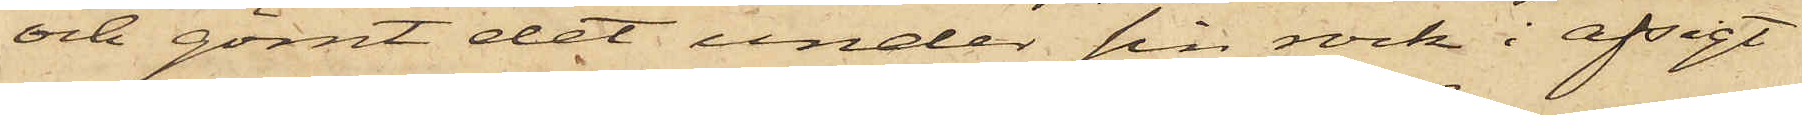och gömt det under sin rock i afsigt
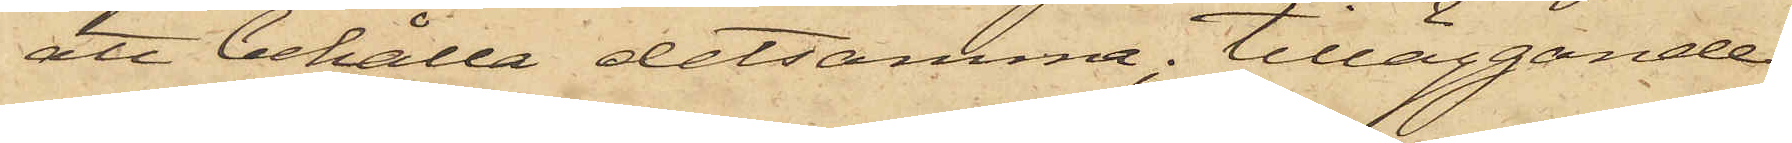att behålla detsamma; tilläggande
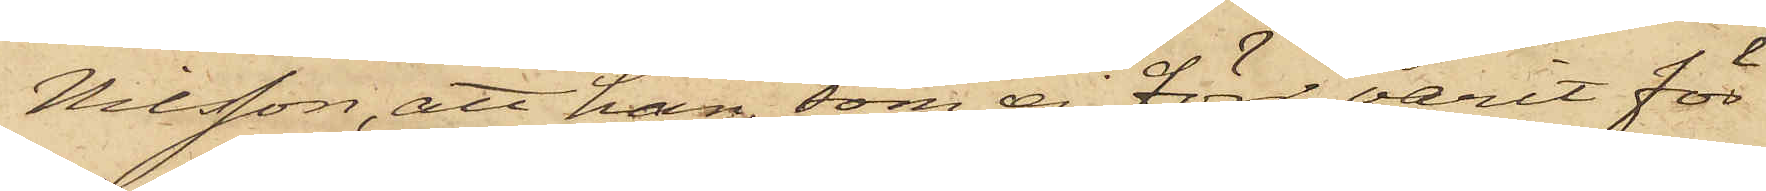Nilsson, att han, som ej förr varit för
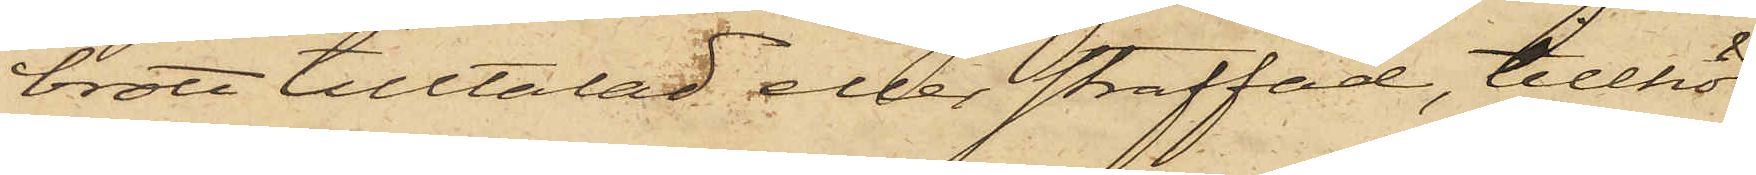brott tilltalad eller straffad, tillhör
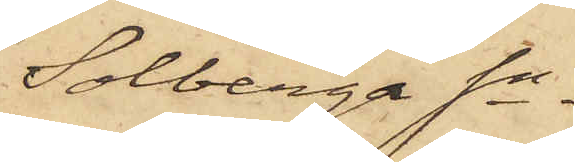Solberga Sn.
